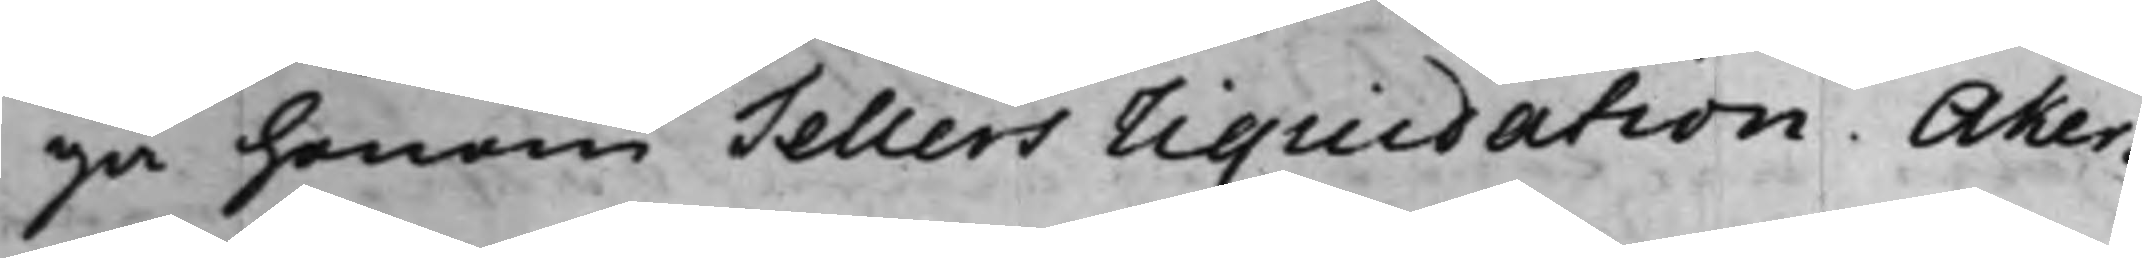ga honom Tellers Liquidation. Åker¬
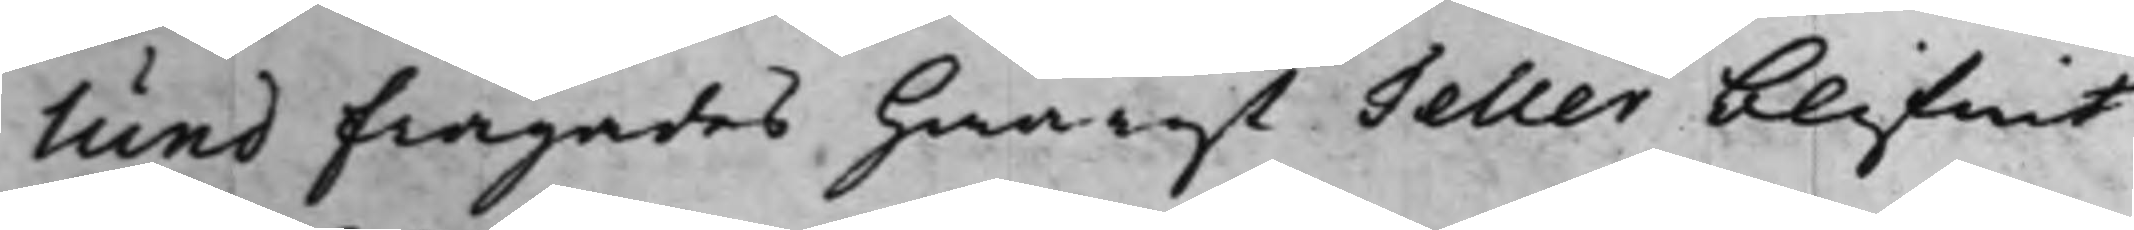lund frågades hwarest Teller blifwit
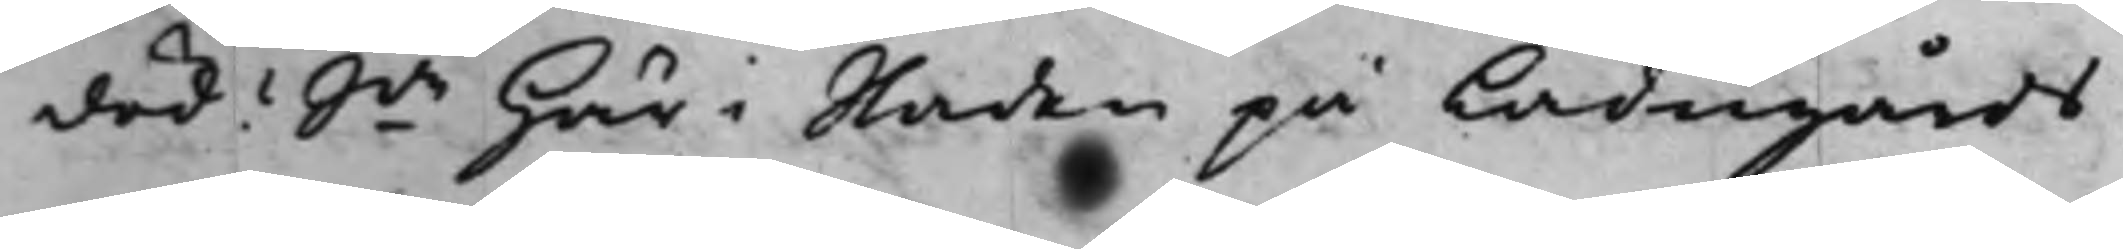död? Sde här i Staden på Ladugårds¬
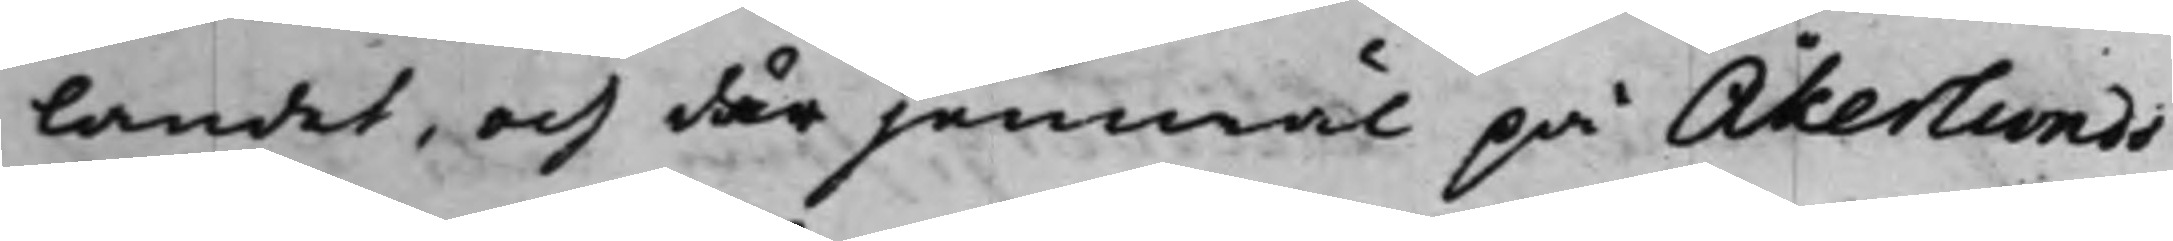landet, och där jemwäl på Åkerlunds
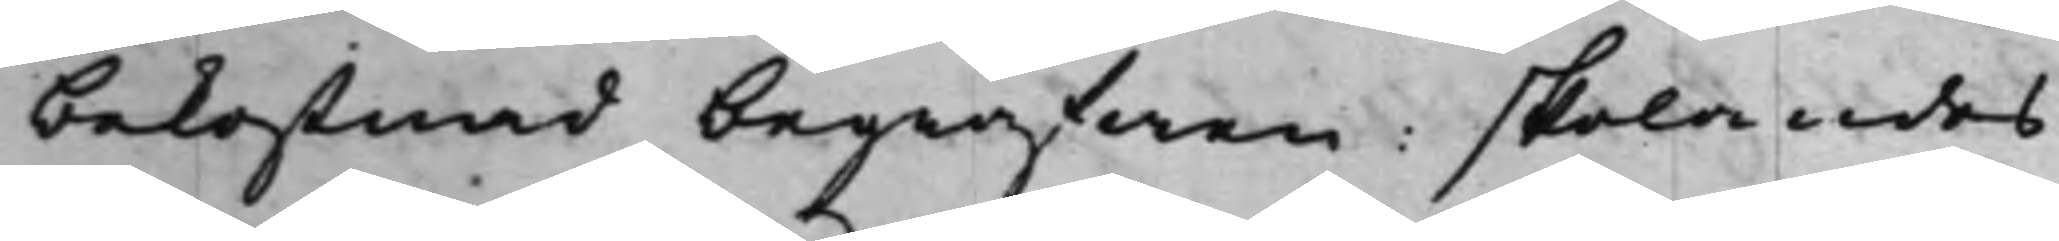bekostnad begrafwen: skolandes
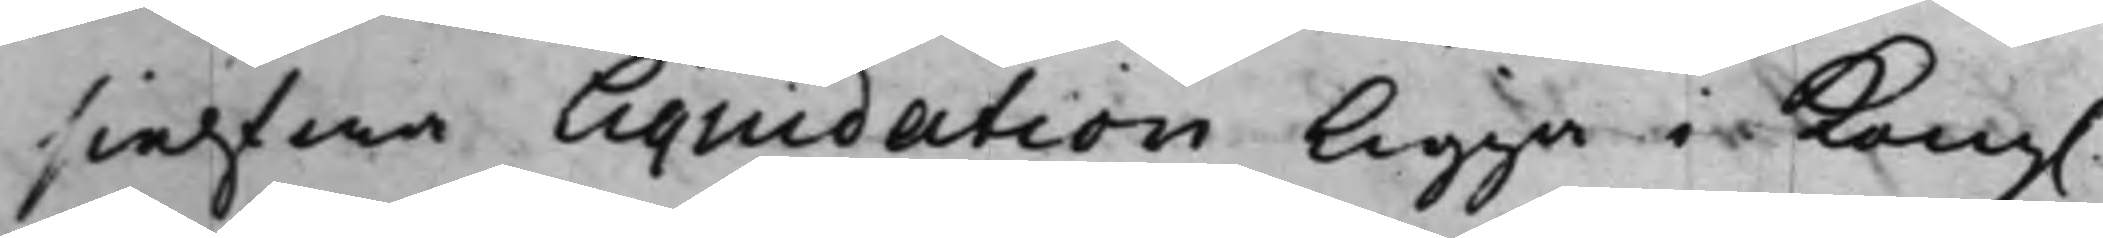sielfwa Liquidation ligga i Kong.
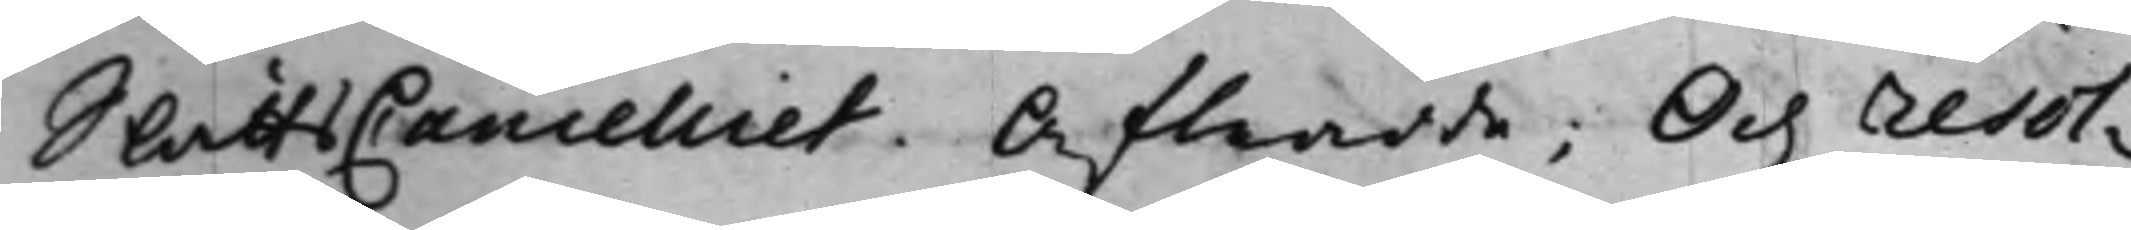SlåttzCancelliet. Aftredde; Och resol¬
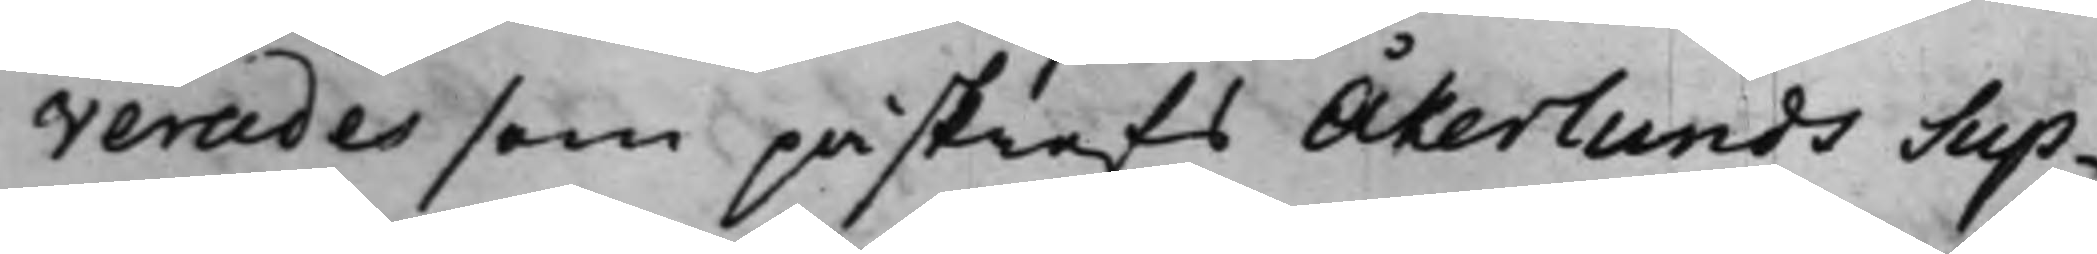verades som påskrefs Åkerlunds Sup¬
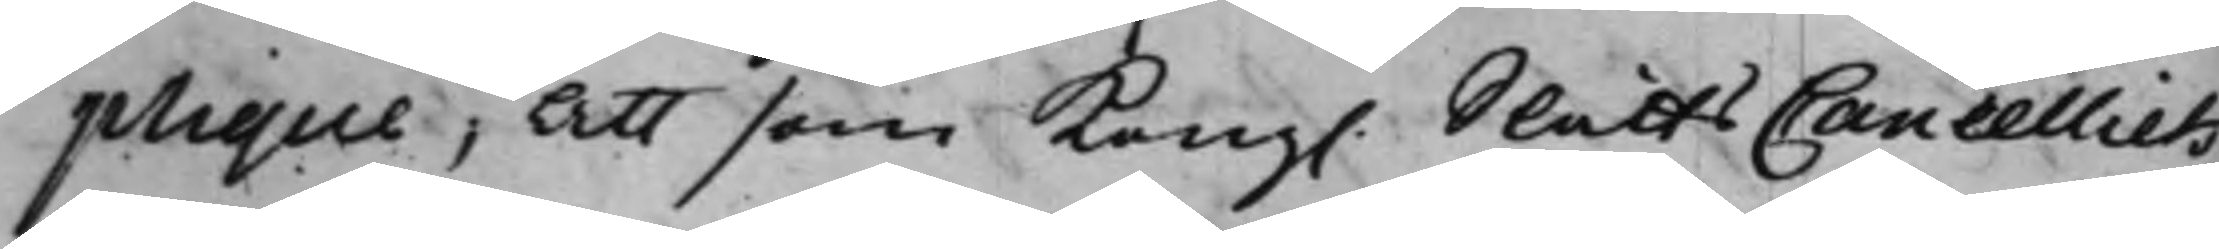plique; Att som Kong. SlåttsCancelliets
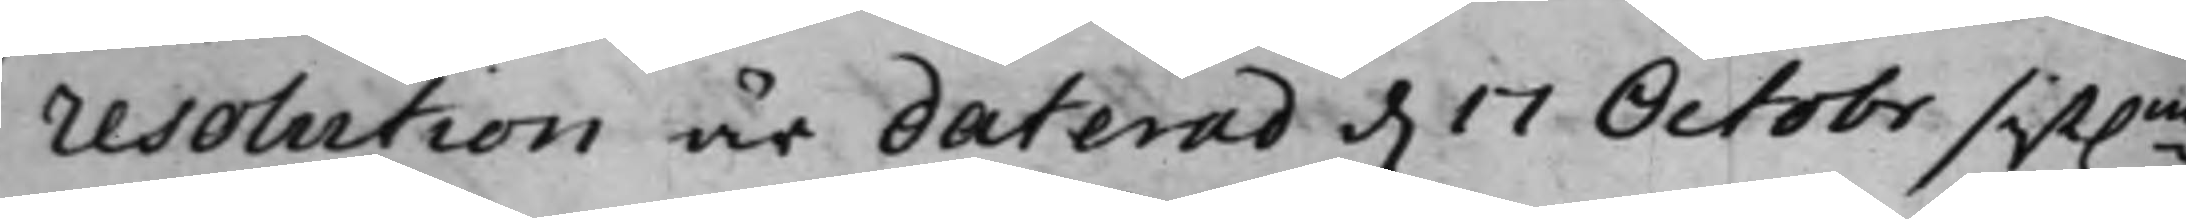resolution är daterad d. 17 October sist.ne
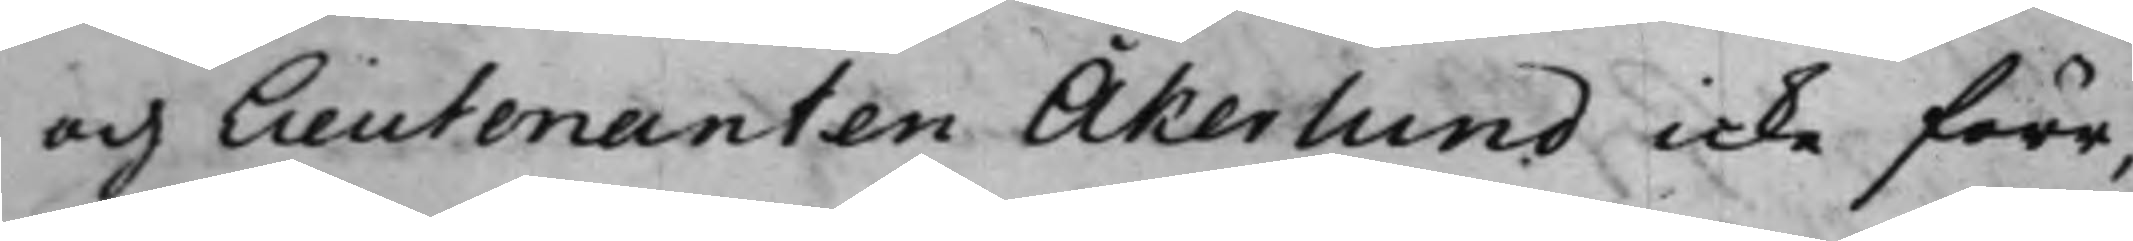och Lieutenanten Åkerlund icke förr¬
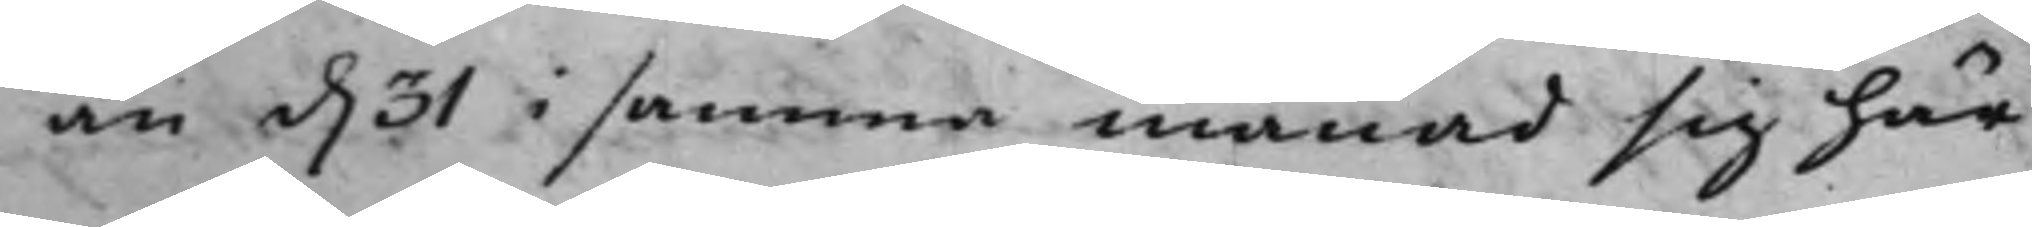än d. 31 i samma månad sig här
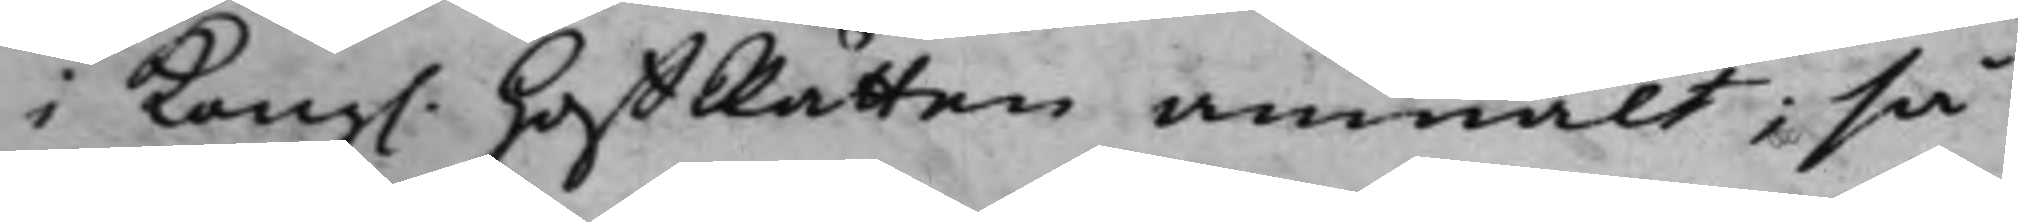i Kong. HoffRätten anmält; så
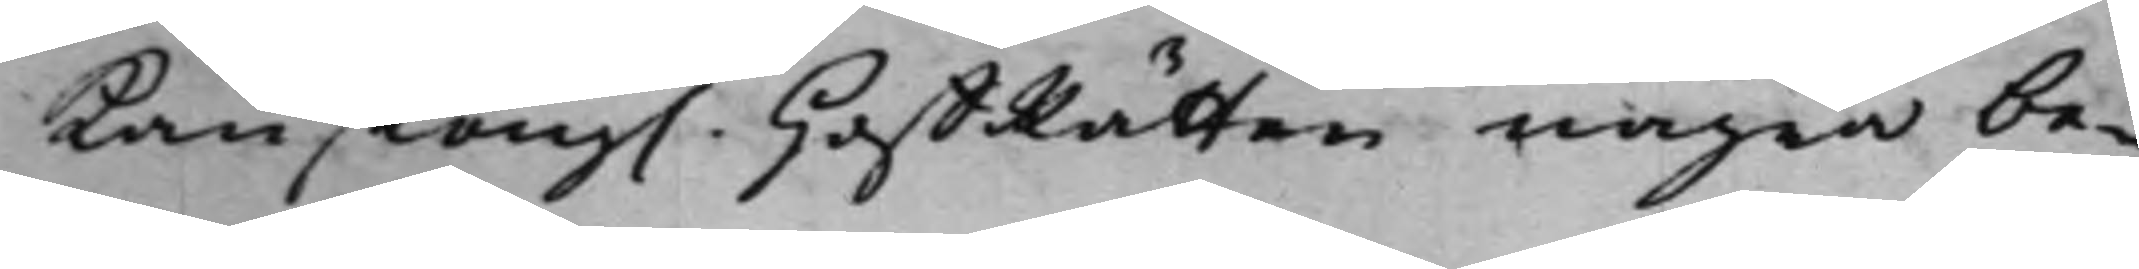Kan Kong. HoffRätten några be¬
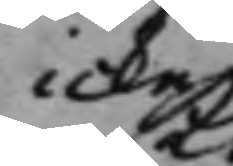icke
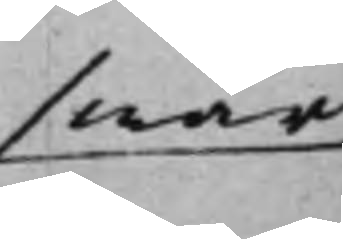swär
